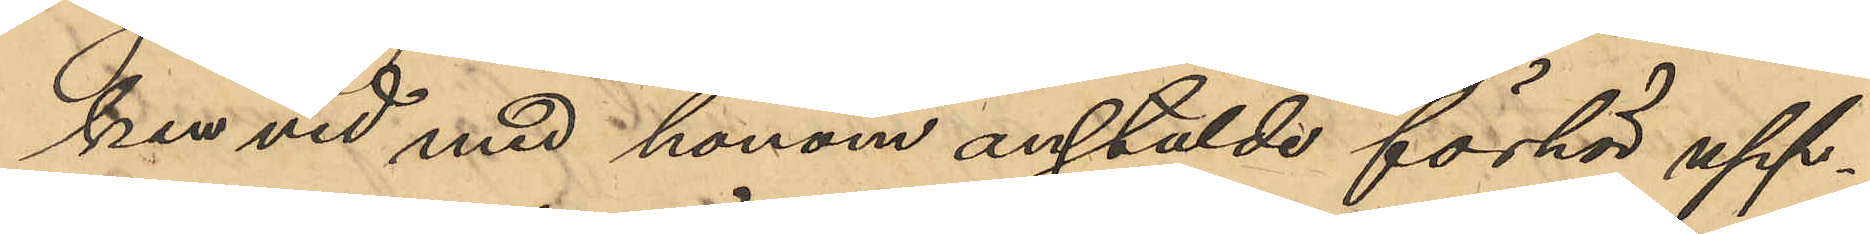ken vid med honom anstälde förhör upp¬
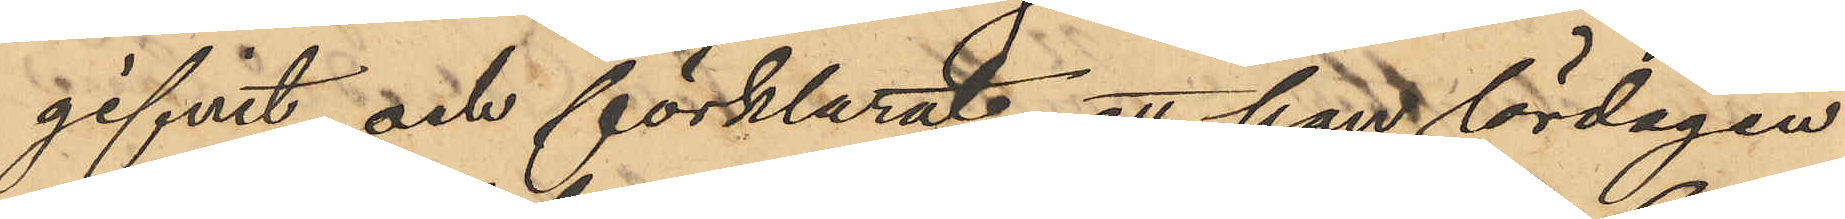gifvit och förklarat att han lördagen
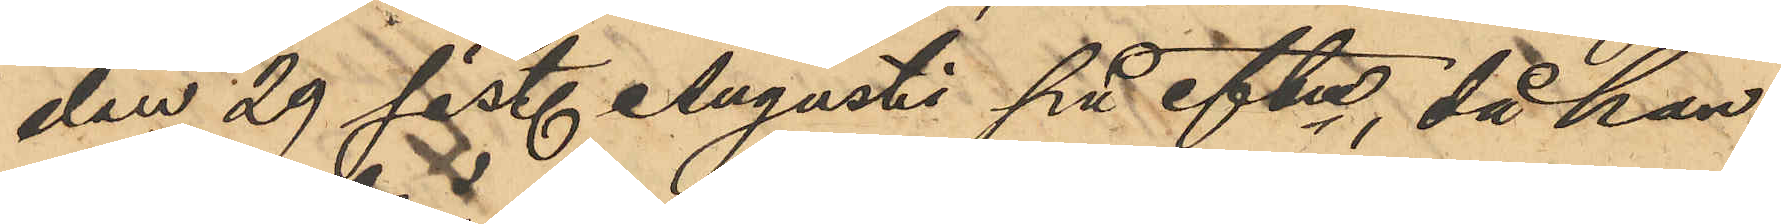den 29 sist. Augusti på eftm, då han
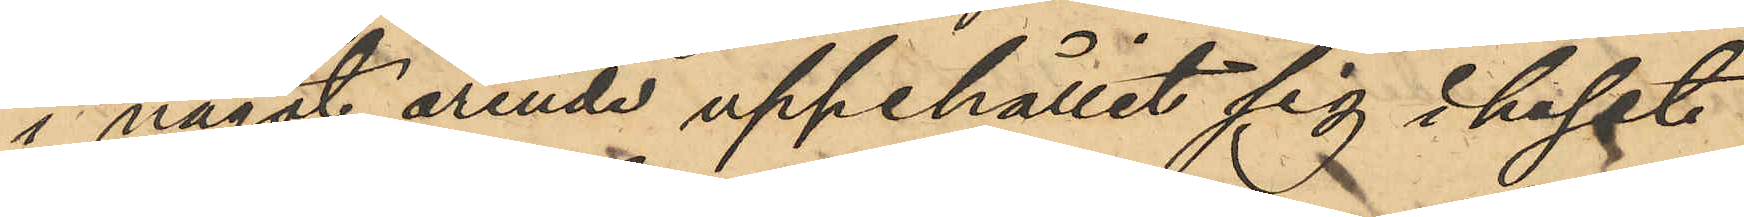i något ärende uppehållit sig i huset
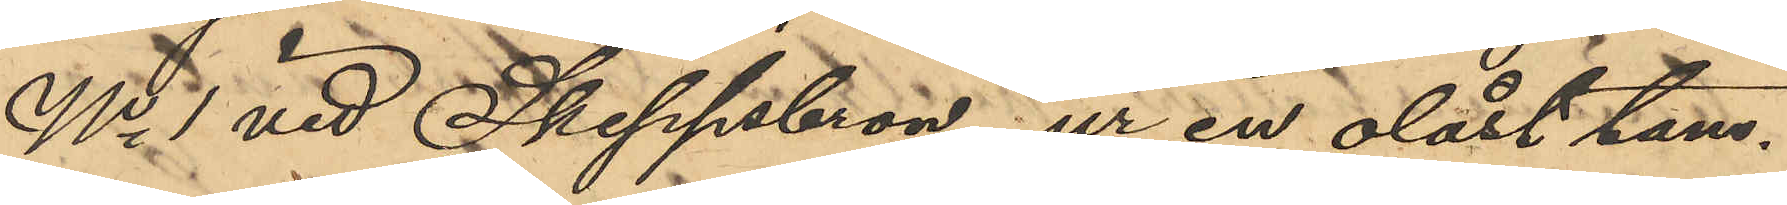No 1 vid Skeppsbron ur en olåst tam¬
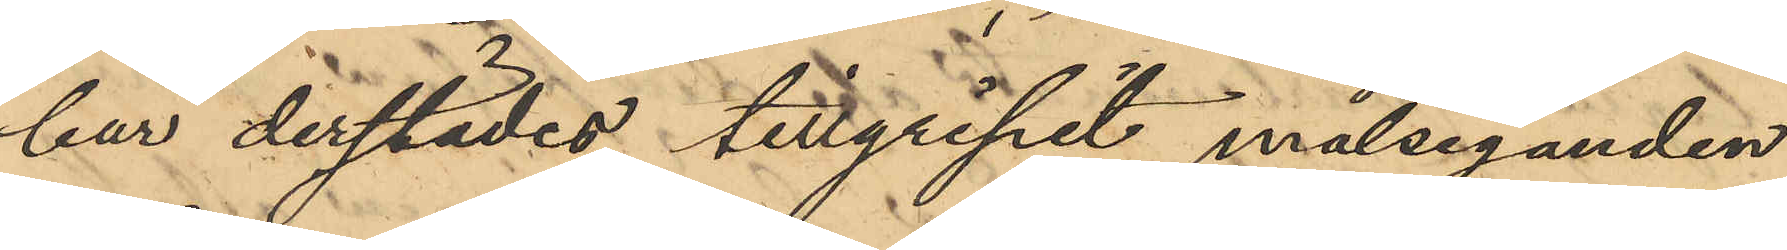bur derstädes tillgripit målseganden
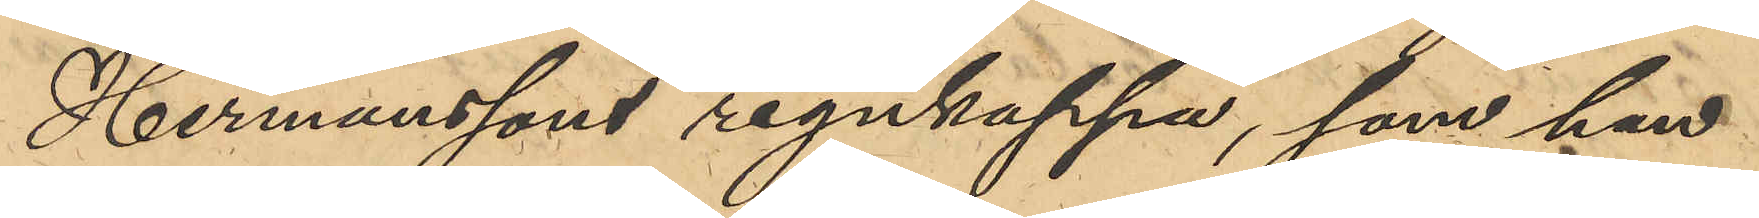Hermanssons regnkappa, som han
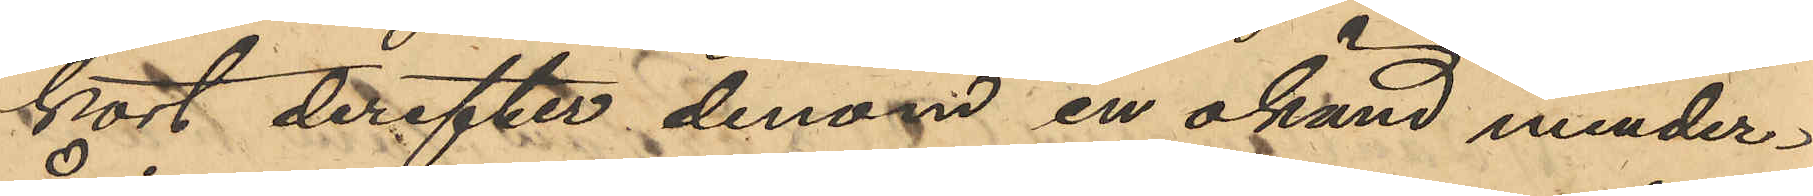kort derefter denom en okänd minder¬
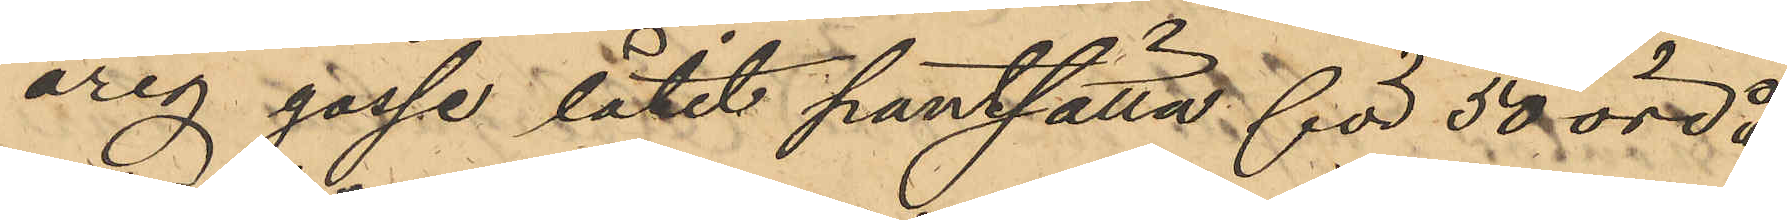årig gosse låtit pantsätta för 50 öre å
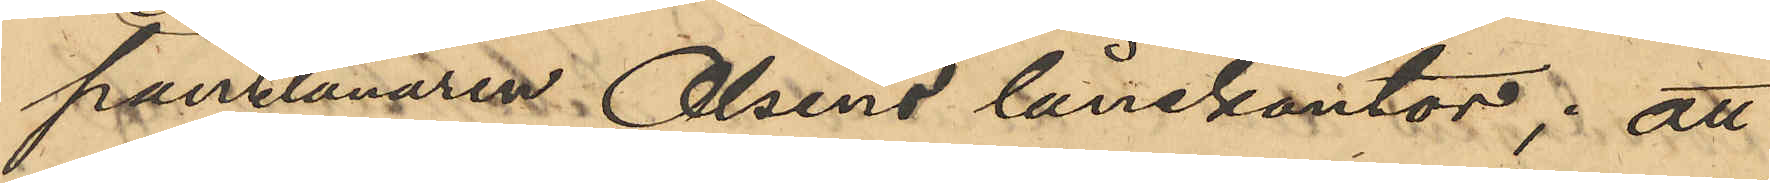pantlånaren Olsens lånekontor; att
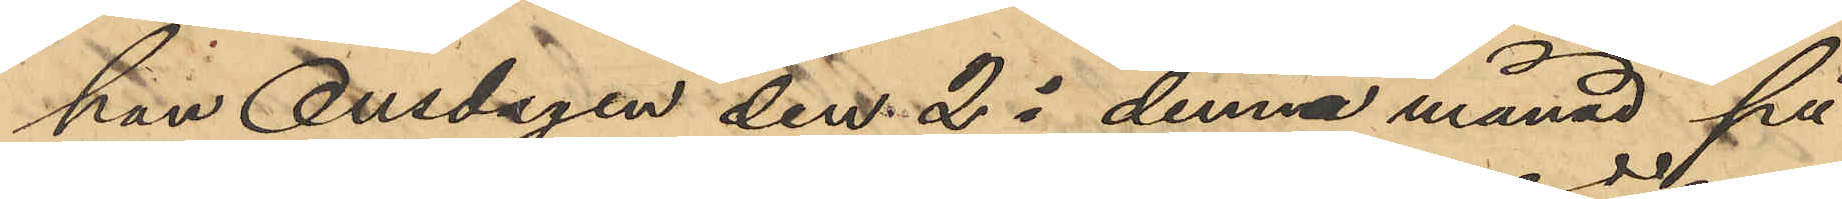han Onsdagen den. 25 denna månad på
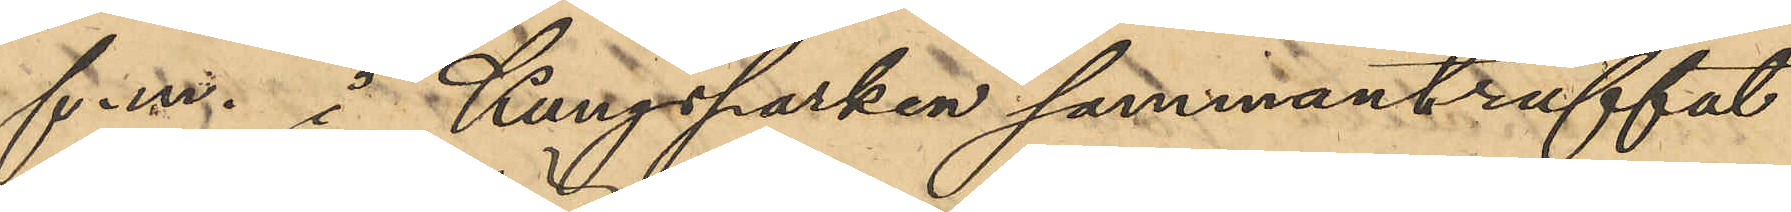f.m. å Kungsparken sammanträffat
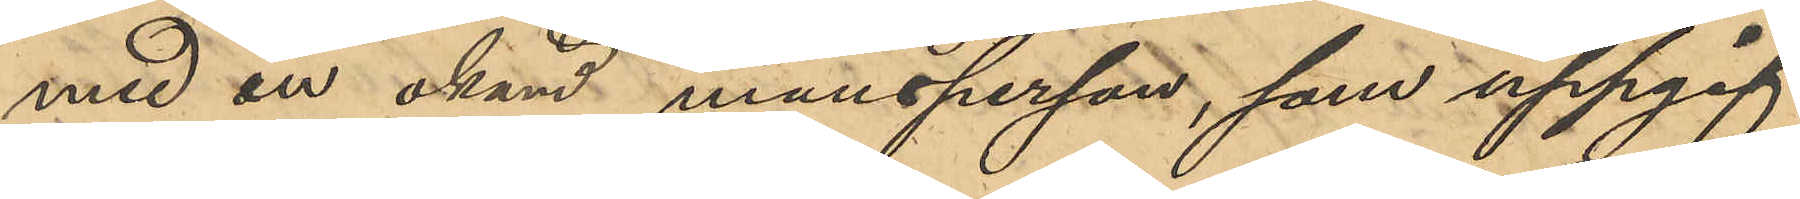med en okänd mansperson, som uppgif¬
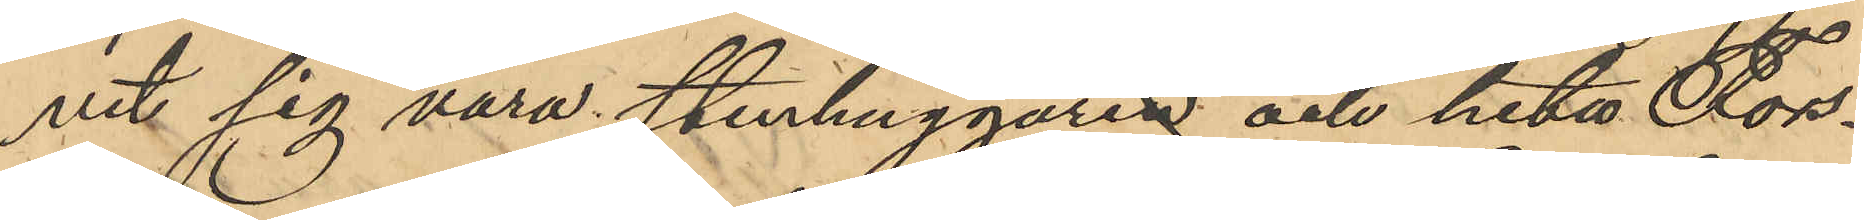vit sig vara Stenhuggare och heta Fors¬
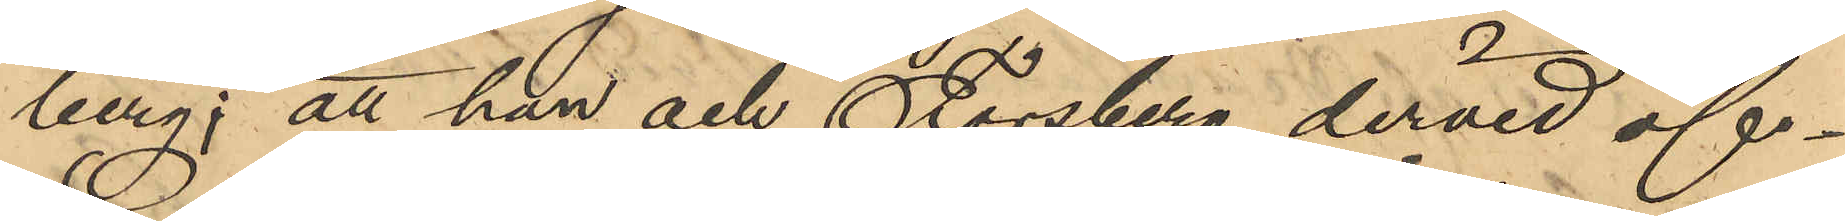berg; att han och Forsberg dervid öf¬
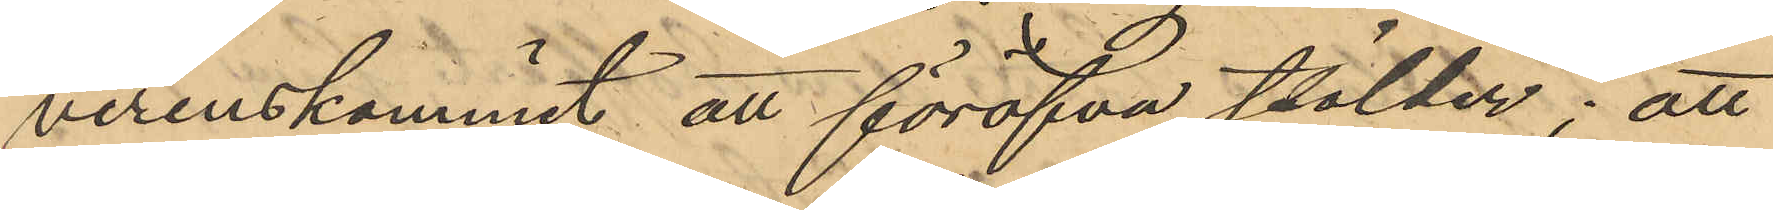verenskommit att föröfva stölder; att
